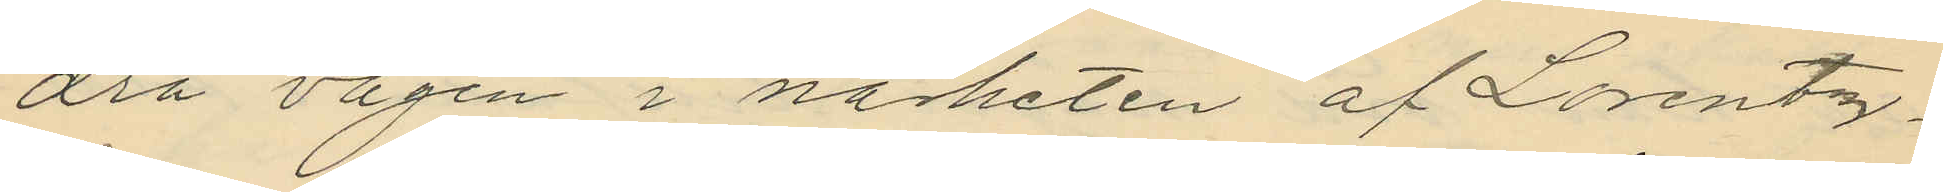dra vägen i närheten af Lorentz¬
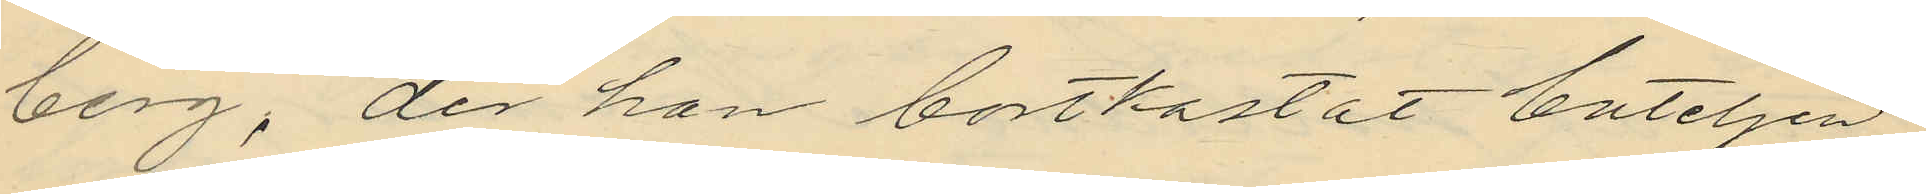berg, der han bortkastat buteljen
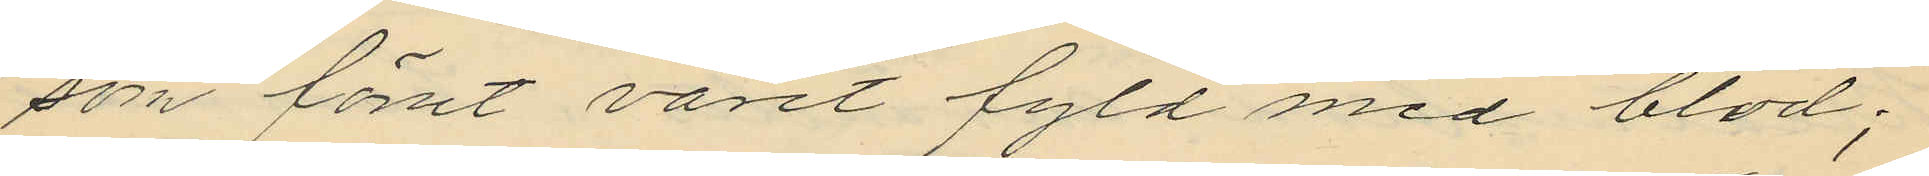som förut varit fyld med blod;
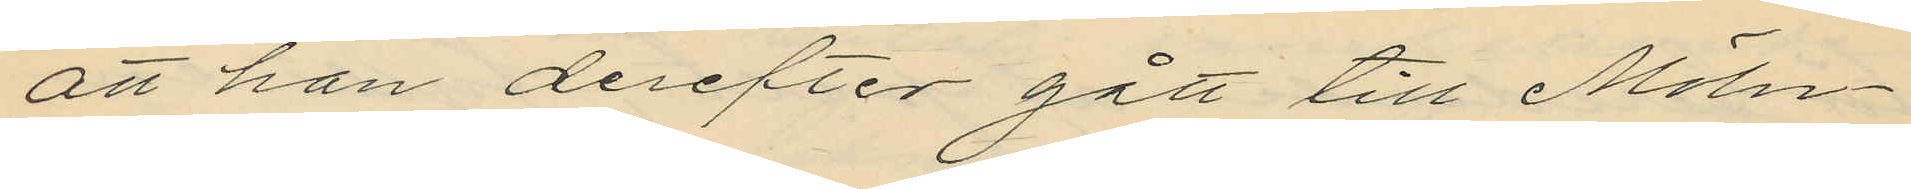att han derefter gått till Möln¬
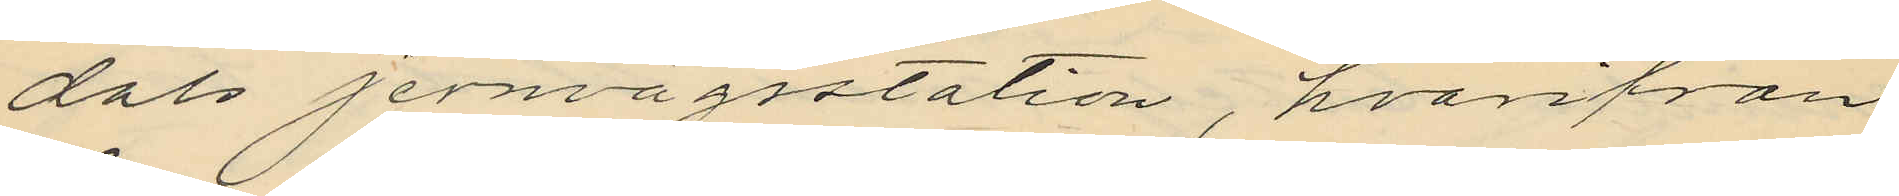dals jernvägsstation, hvarifrån
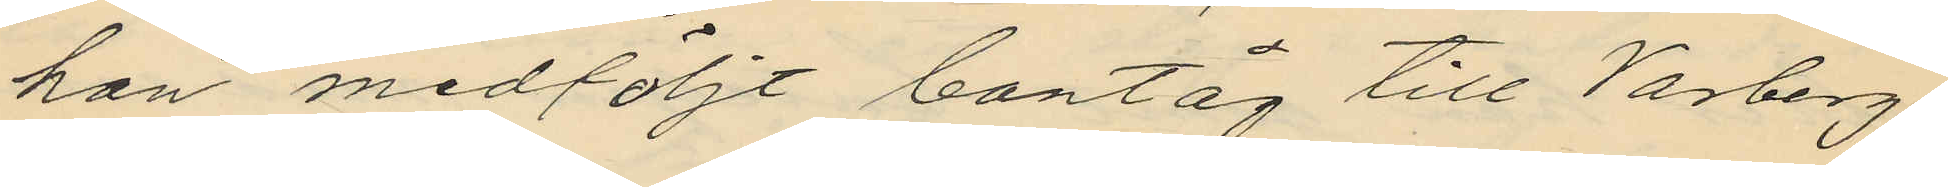han medföljt bantåg till Varberg,
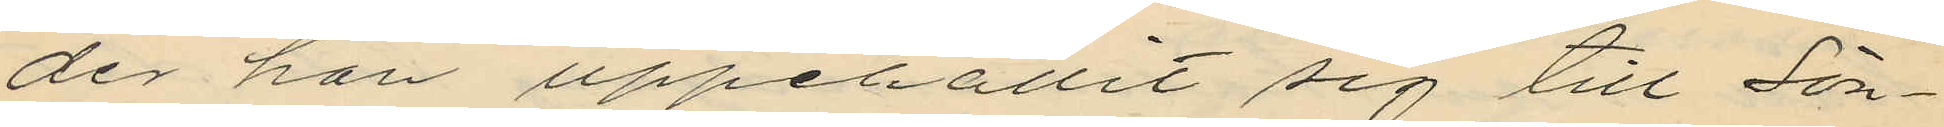der han uppehållit sig till Sön¬
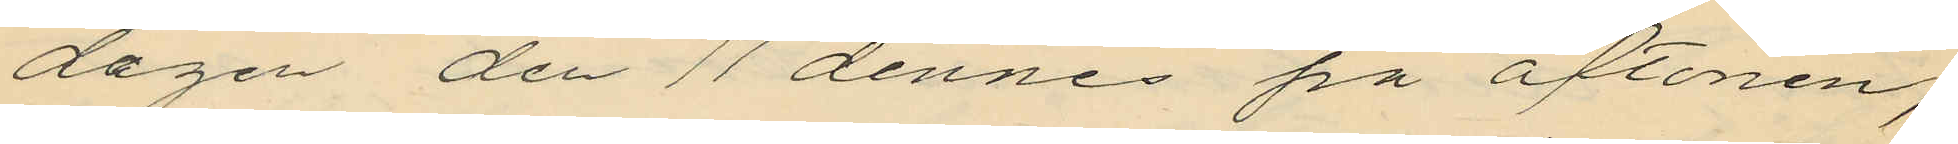dagen den 11 dennes på aftonen,
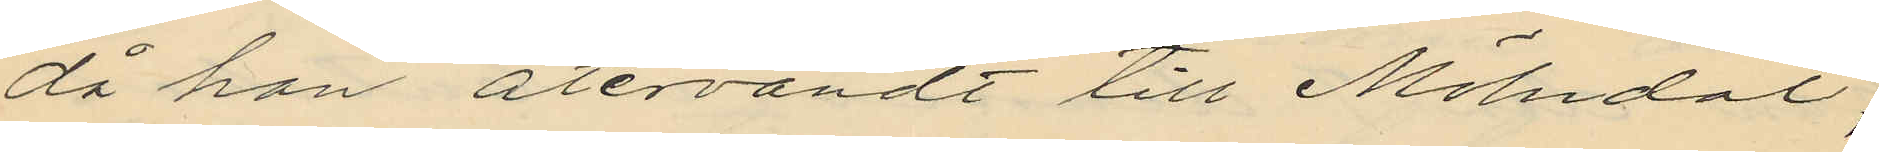då han återvändt till Mölndal,
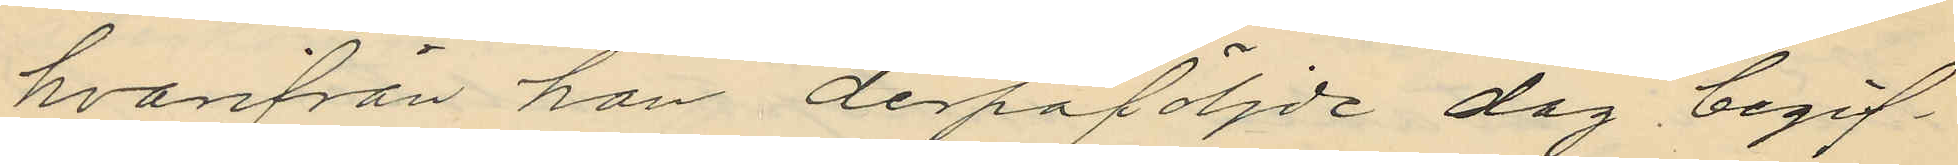hvarifrån han derpåföljde dag begif¬
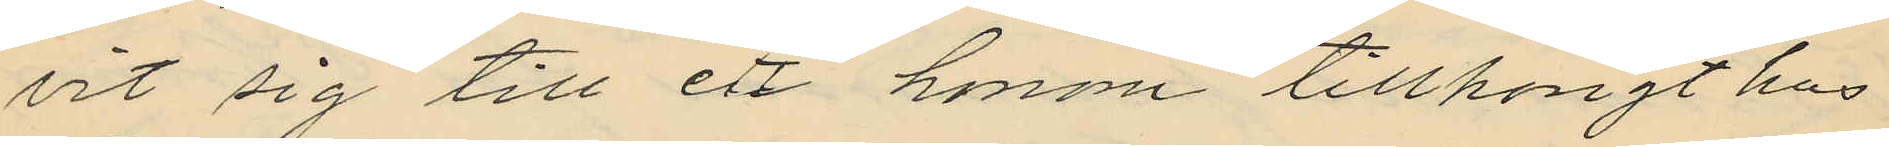vit sig till ett honom tillhörigt hus
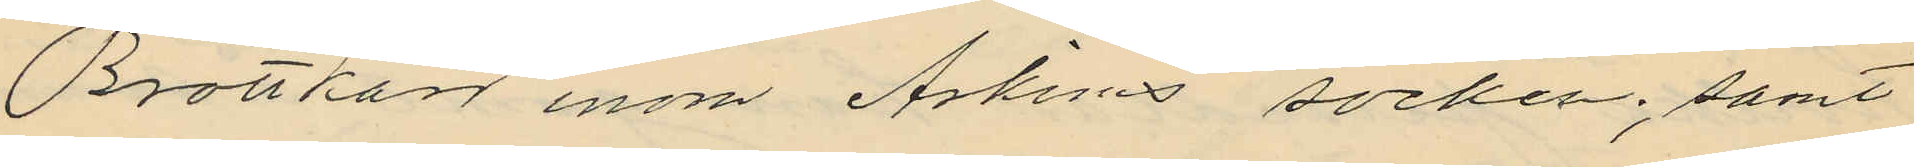Brottkärr inom Askims socken; samt
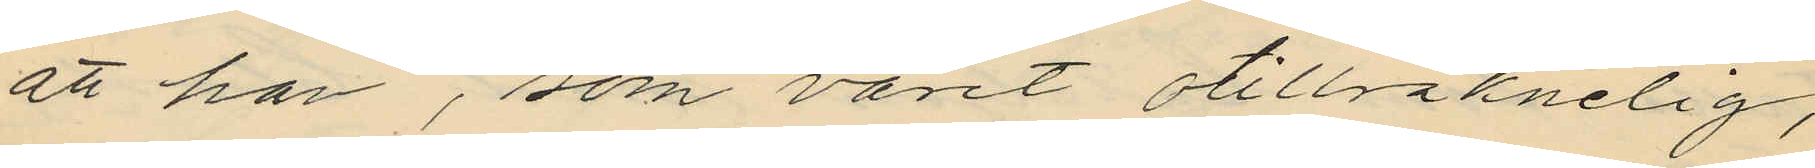att han, som varit otillräknelig,
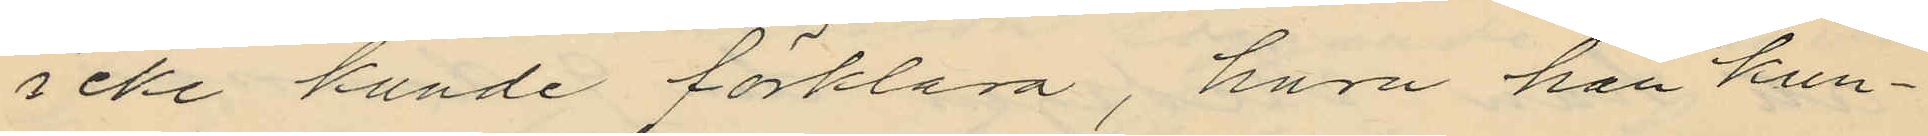icke kunde förklara, huru han kun¬
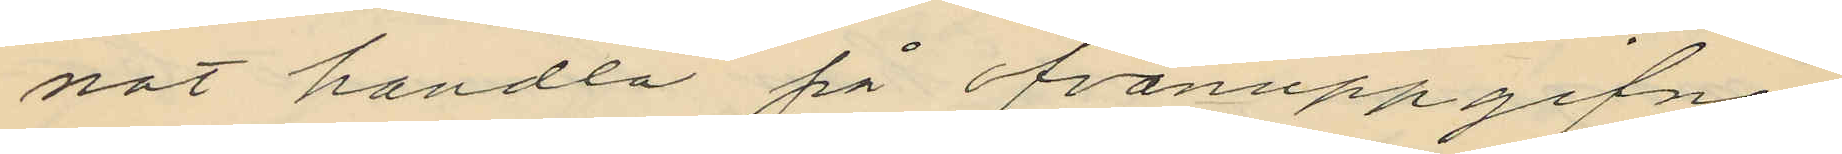nat handla på ofvanuppgifne
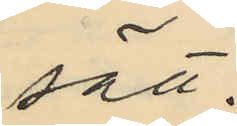sätt.
